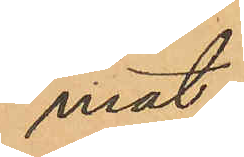mat.
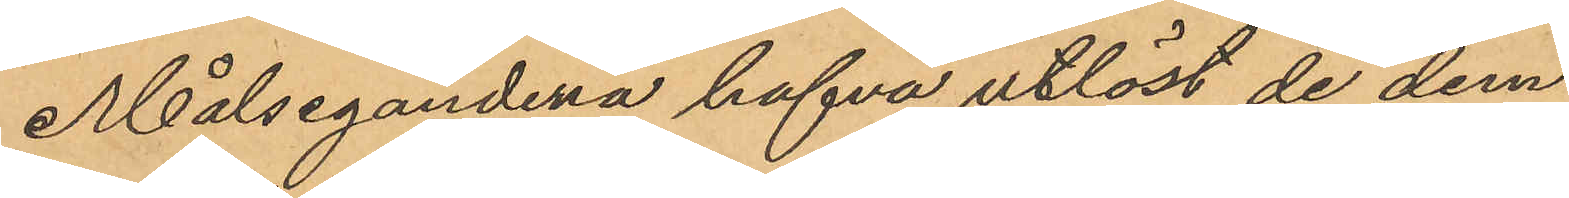Målsegandena hafva utlöst de dem
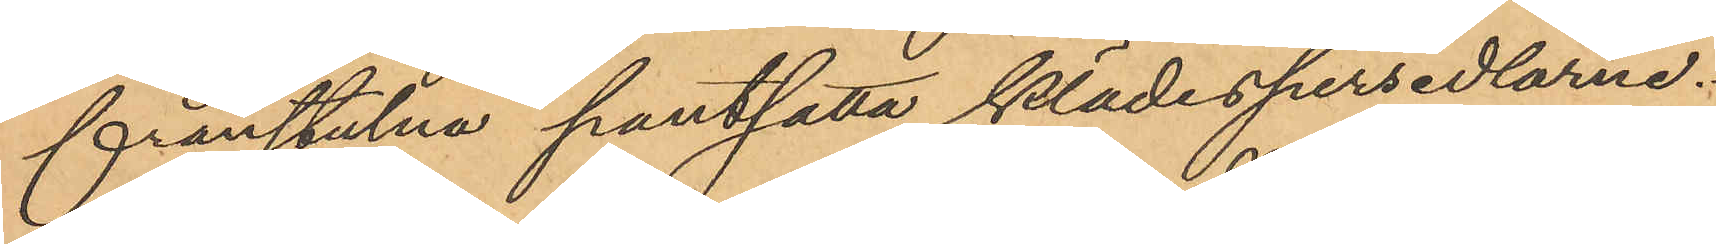frånstulna pantsatta klädespersedlarne.
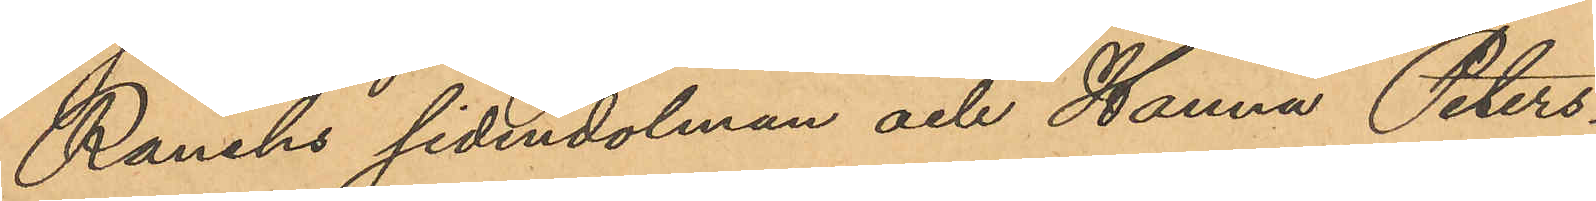Ranchs sidendolman och Hanna Peters¬
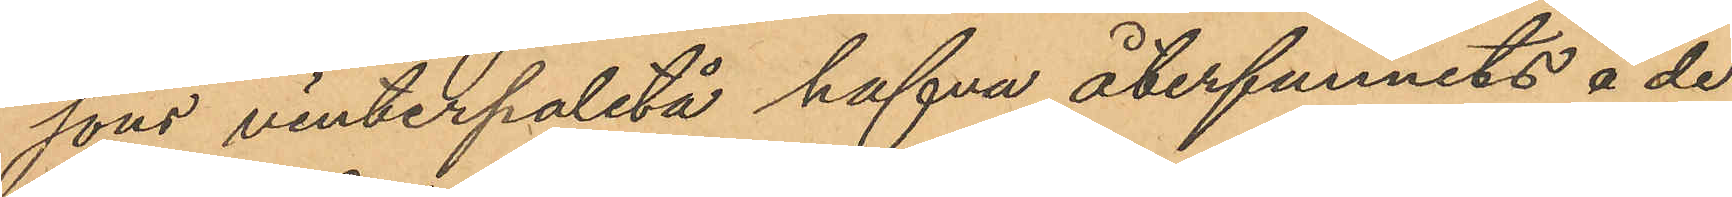sons vinterpaletå hafva återfunnits å de
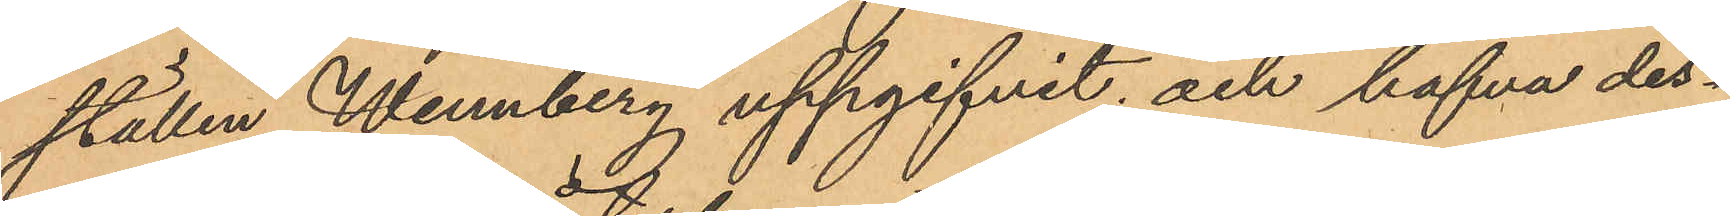ställen Wennberg uppgifvit och hafva des¬
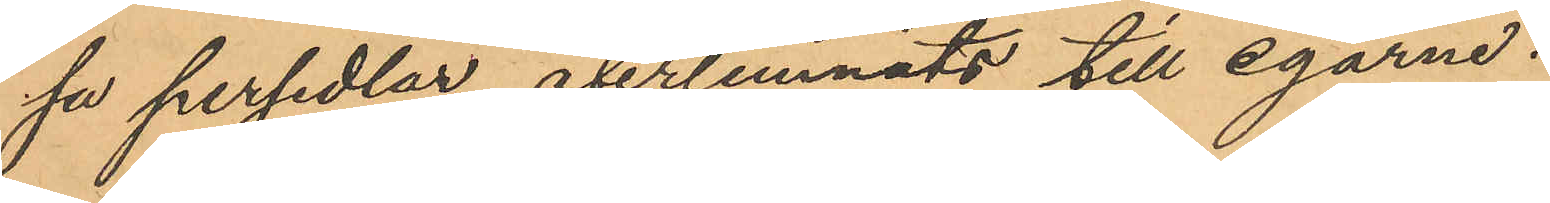sa persedlar återlemnats till egarne.
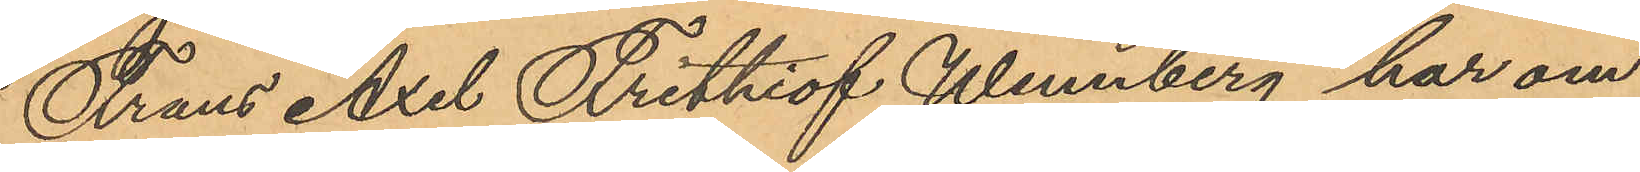Frans Axel Frithiof Wennberg har om¬
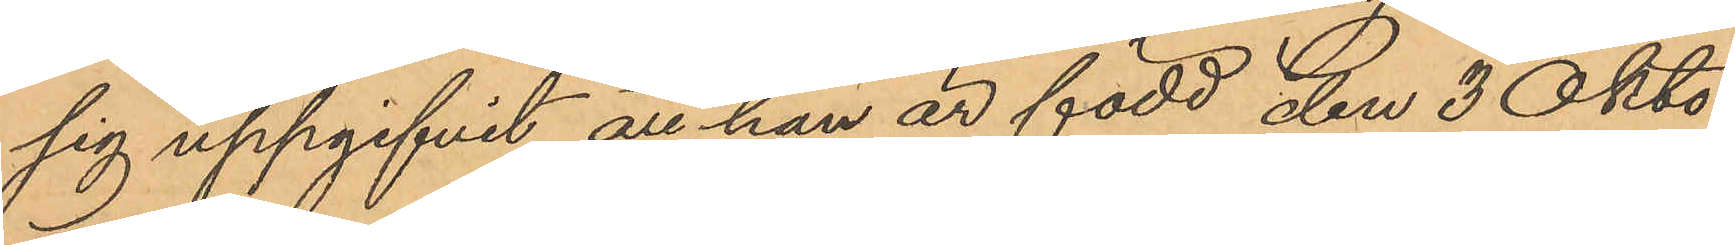sig uppgifvit att han är född den 3 Okto¬
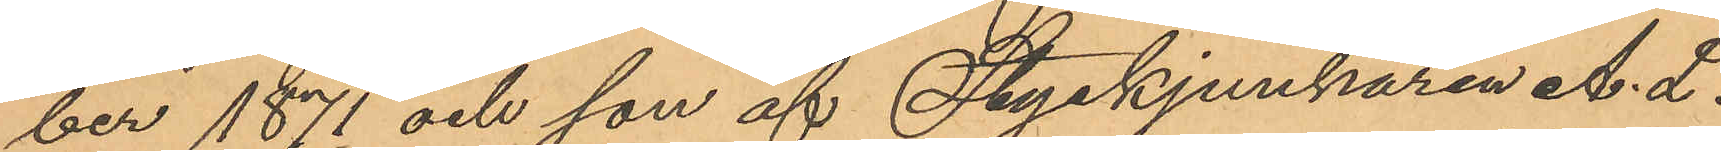ber 1871 och son af Styckjunkaren A. L.
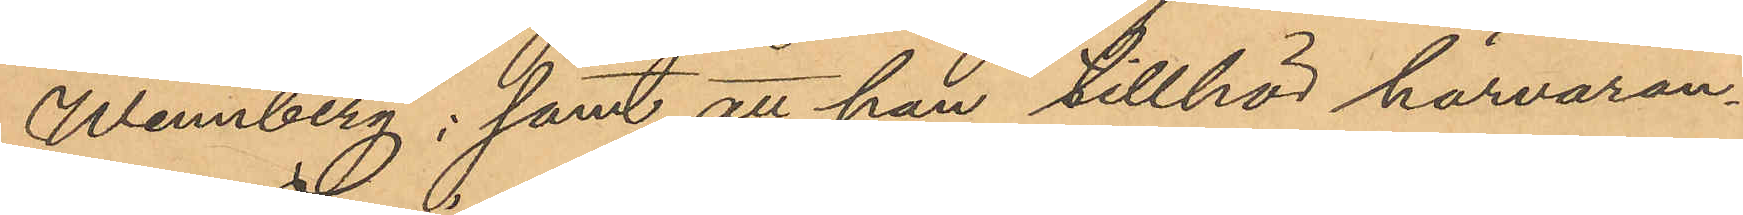Wennberg; samt att han tillhör härvaran¬
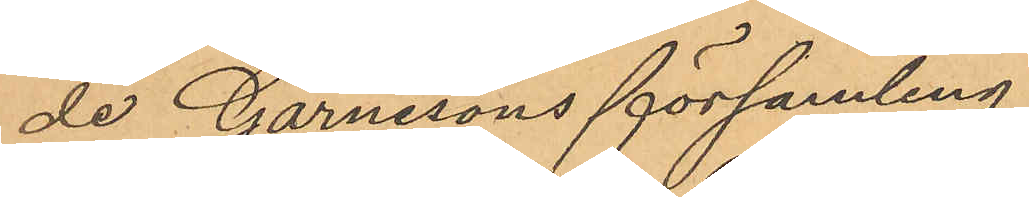de Garnisons församling.
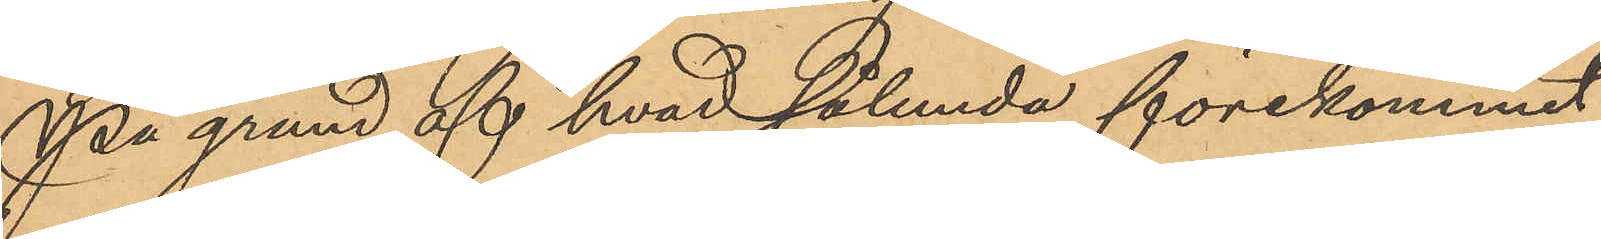På grund af hvad sålunda förekommit
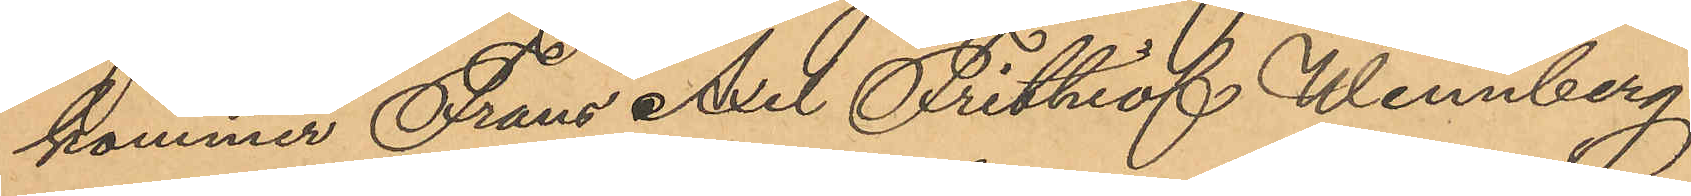kommer Frans Axel Frithiof Wennberg
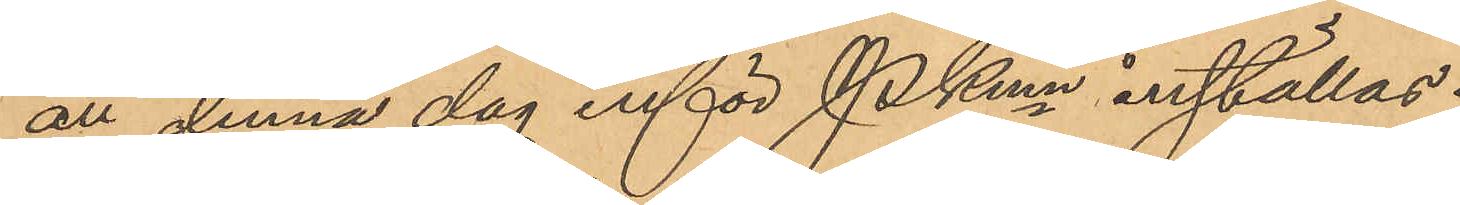att denna dag inför Pkmn inställas.
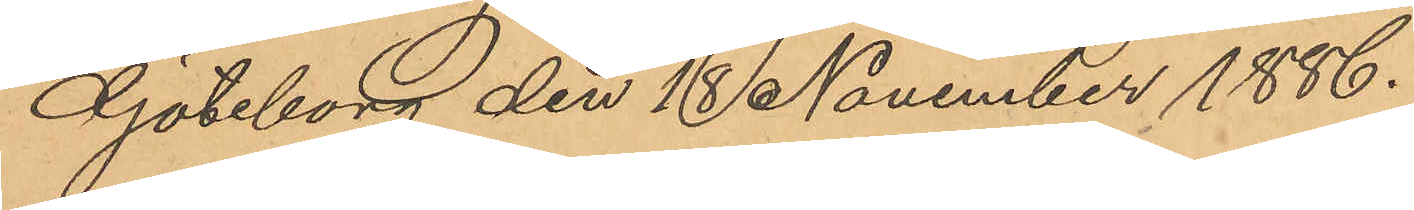Göteborg den 10 November 1886.
